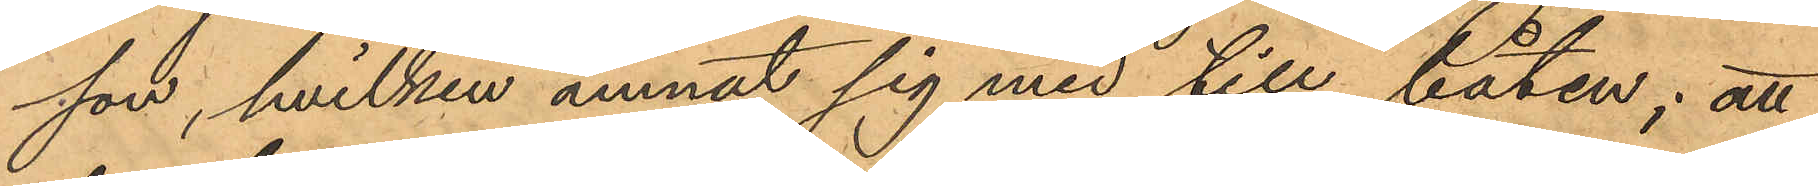son, hvilken ämnat sig med till båten; att
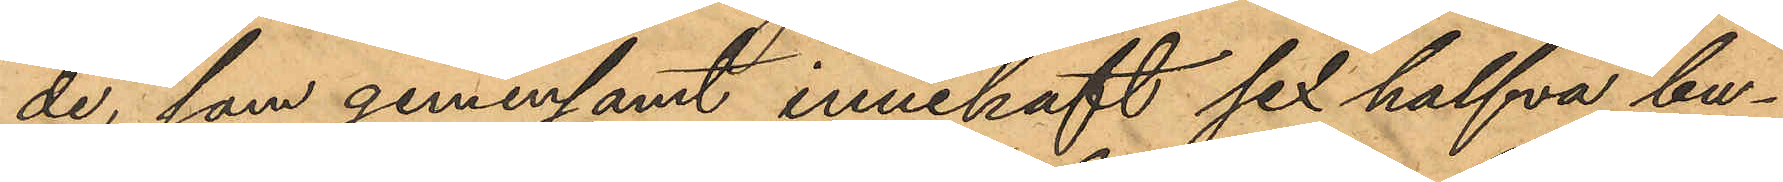de, som gemensamt innehaft sex halfva bu¬
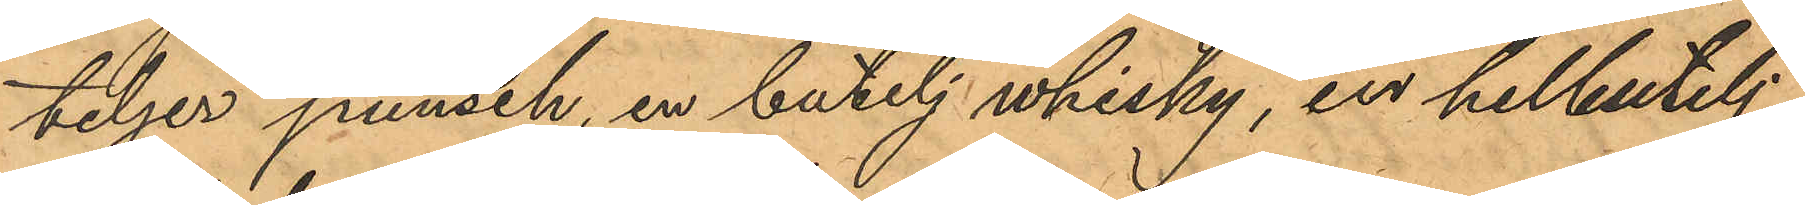teljer punsch, en butelj whisky, en helbutelj
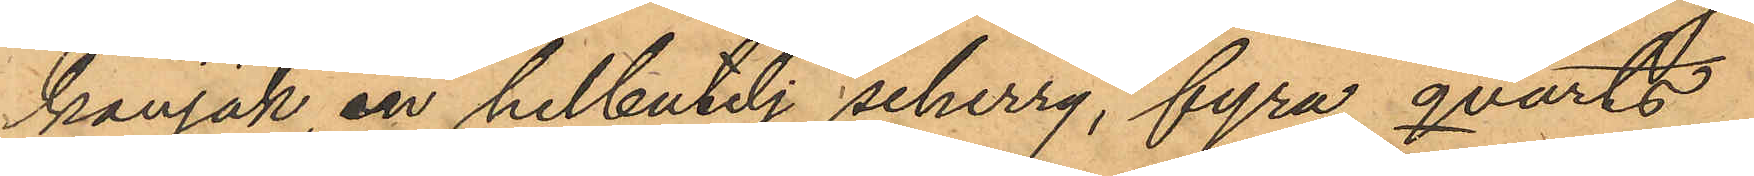konjak en helbutelj scherry, fyra qvarts¬
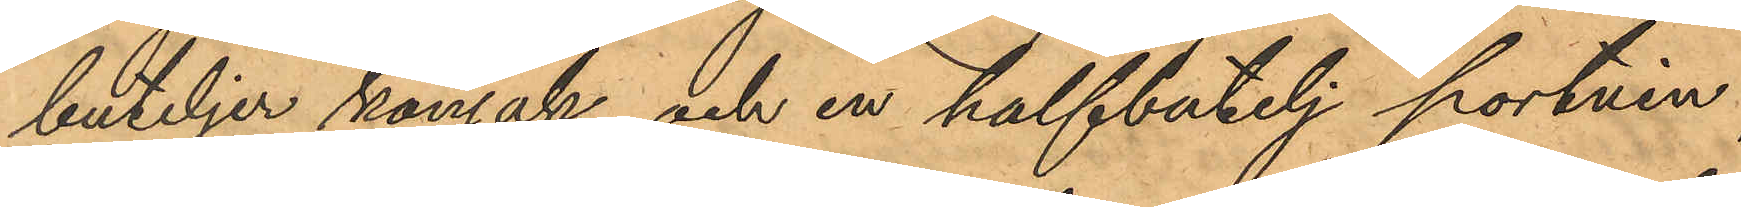buteljer konjak och en halfbutelj portvin
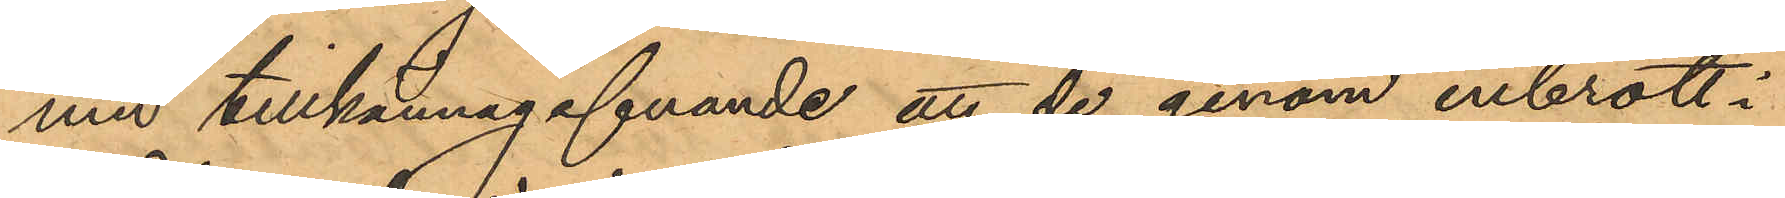med tillkännagifvande att de genom inbrott i
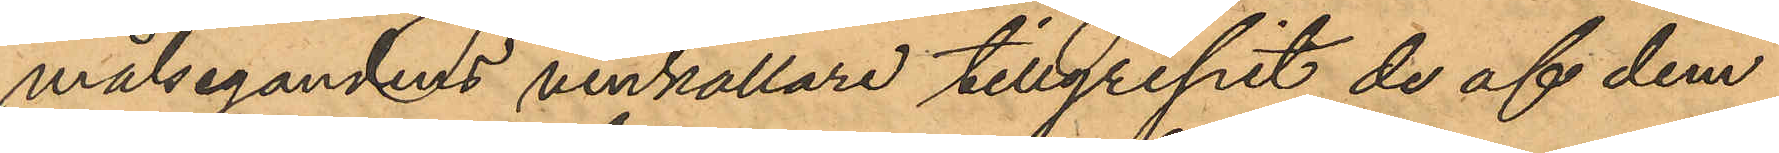målsegandens vinkällare tillgripit de af dem
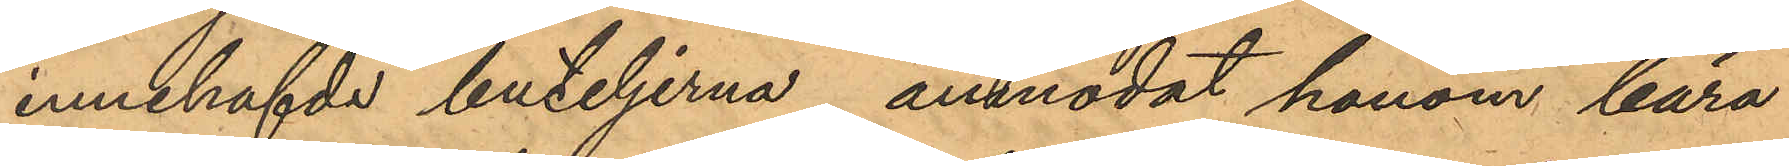innehafde buteljerna, anmodat honom bära
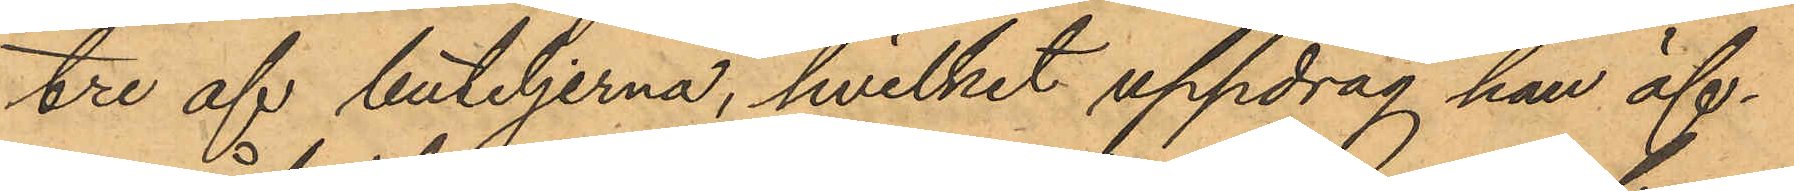tre af buteljerna, hvilket uppdrag han äf¬
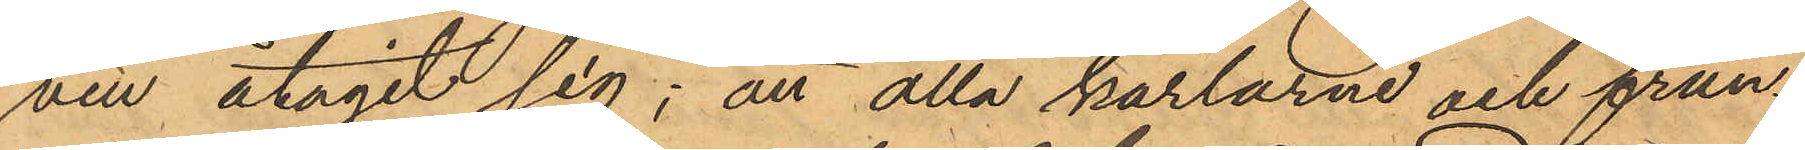ven åtagit sig; att alla karlarne och frun¬
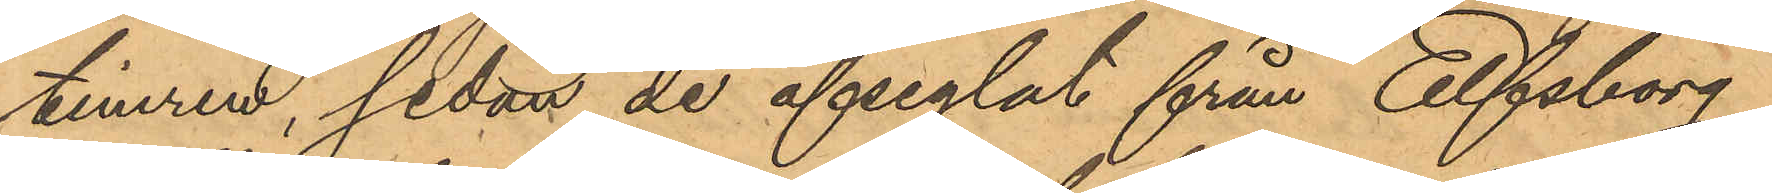timren, sedan de afseglat från Elfsborg
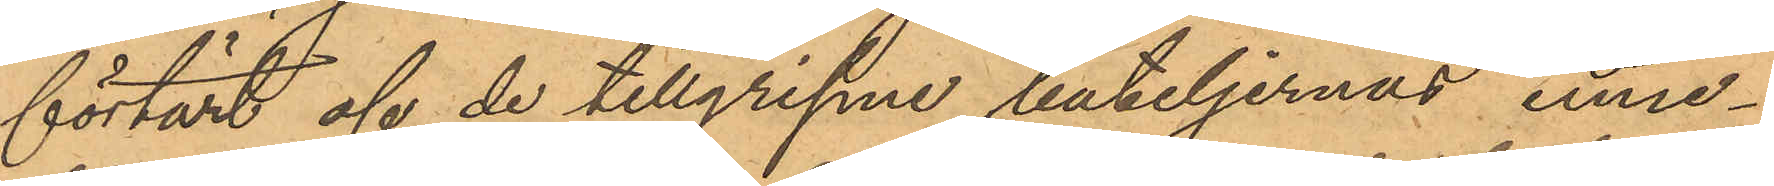förtärt af de tillgripne buteljernas inne¬
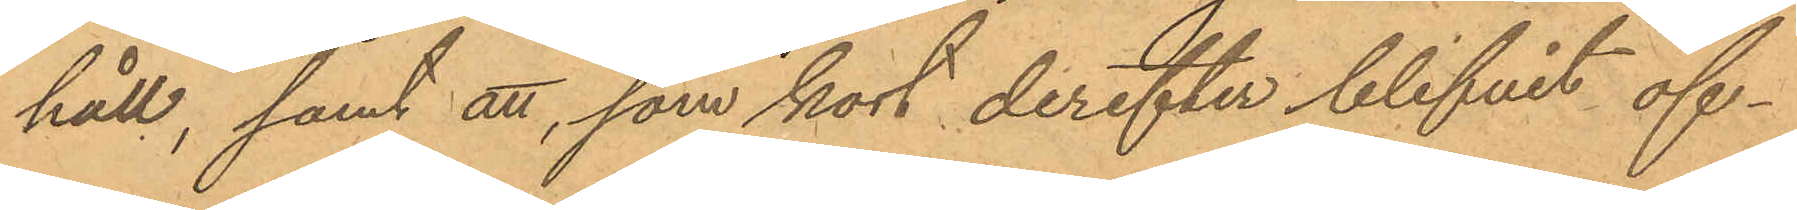håll; samt att, som kort derefter blifvit öf¬
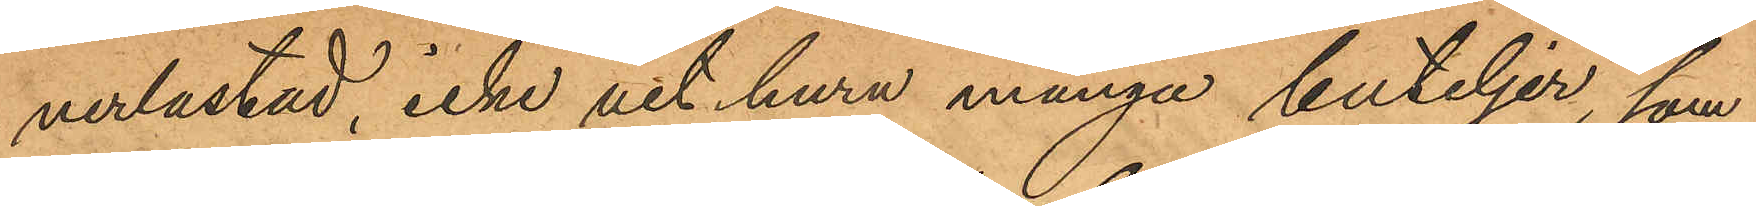verlastad, icke vet huru många buteljer, som
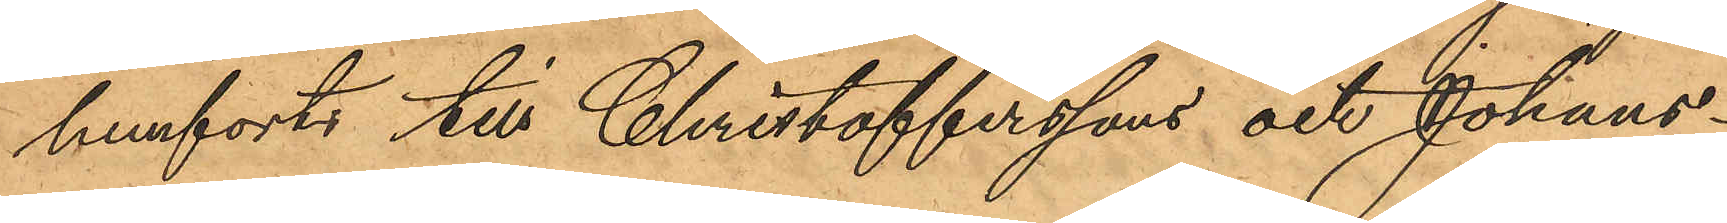hemförts till Christofferssons och Johans¬
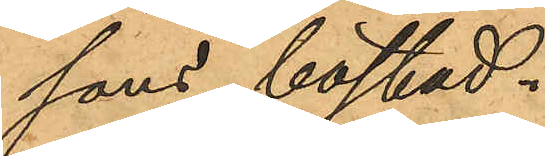sons bostad.
